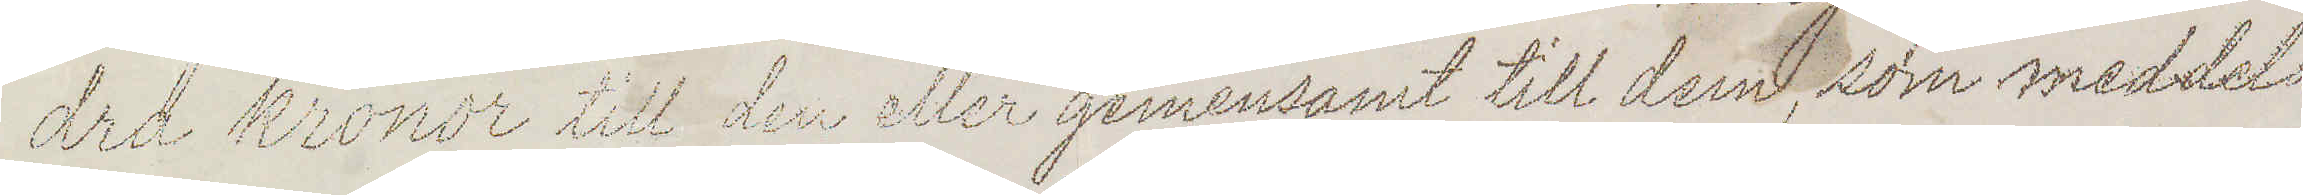dra kronor till den eller gemensamt till dem som meddela
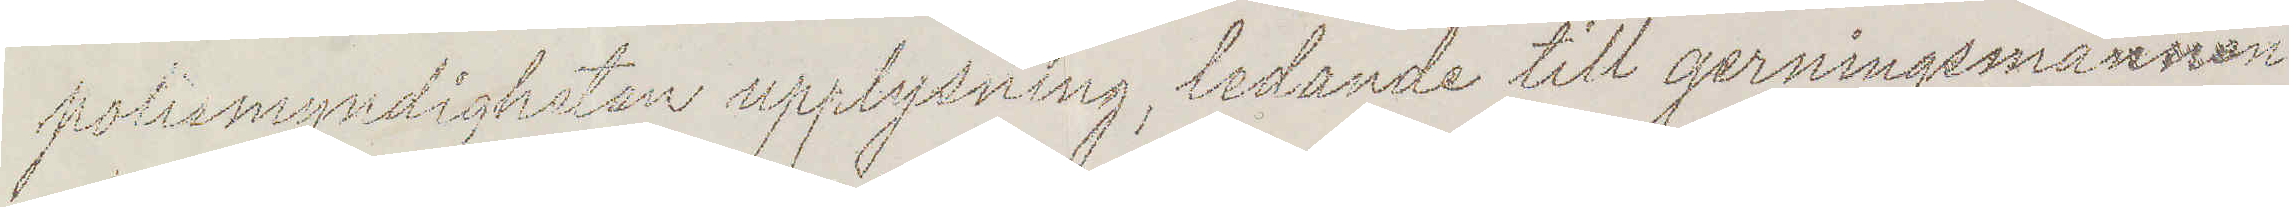polismyndigheten upplysning, ledande till gerningsmannen
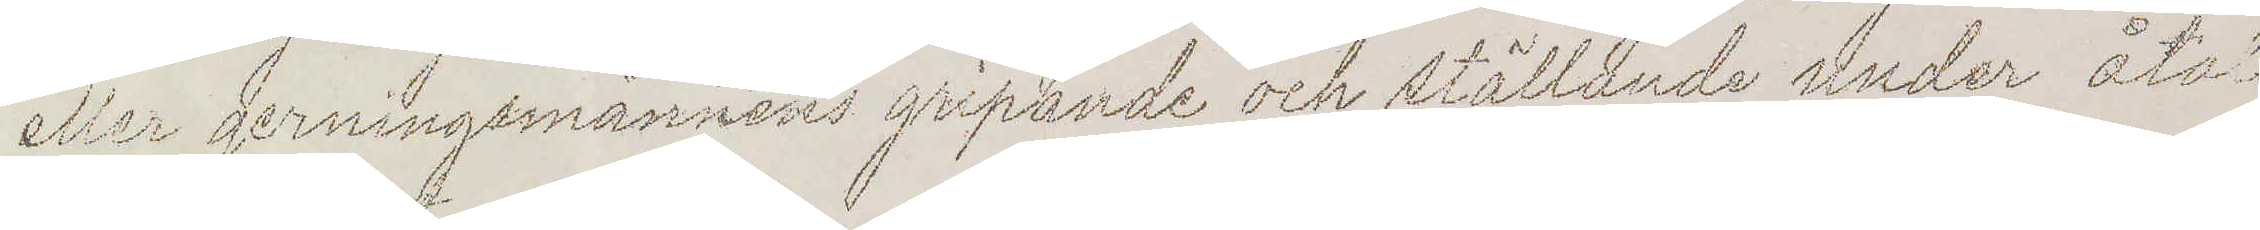eller gerningsmännens gripande och ställande under åtal
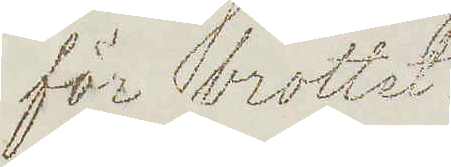för brottet.
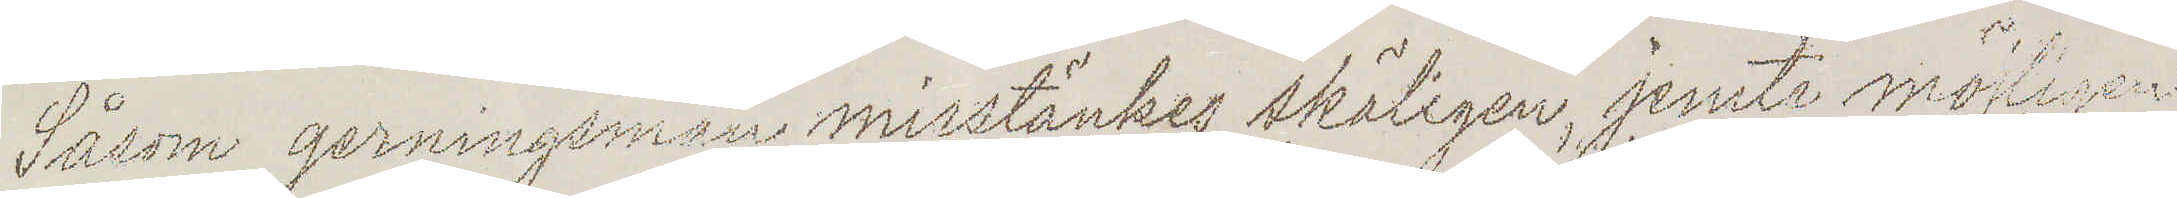Såsom gerningsman misstänkes skäligen, jemte möjligen
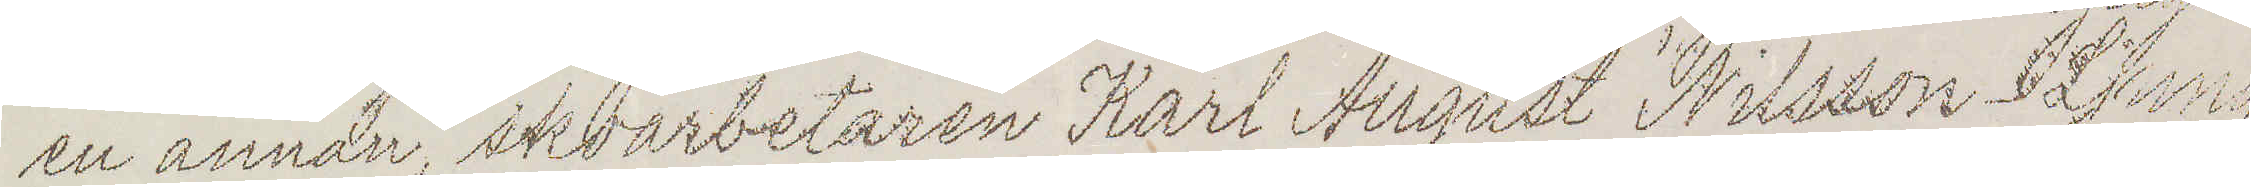en annan, skoarbetaren Karl August Nilsson Ljung
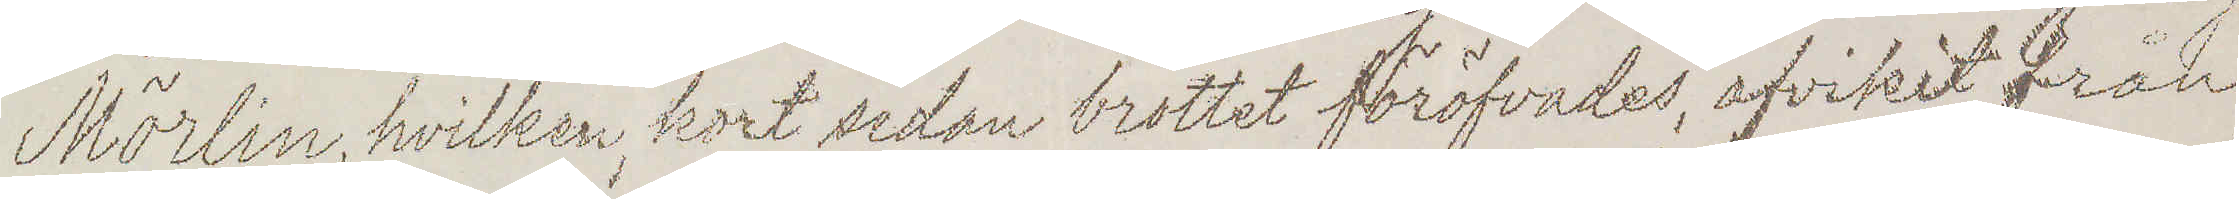Mörlin, hvilken, kort sedan brottet föröfvades, afvikit från
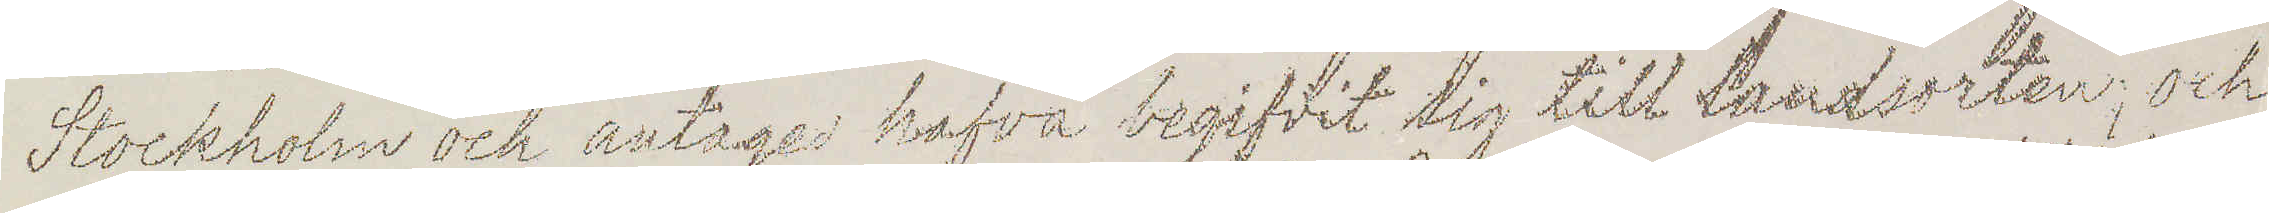Stockholm och antages hafva begifvit sig till landsorten, och
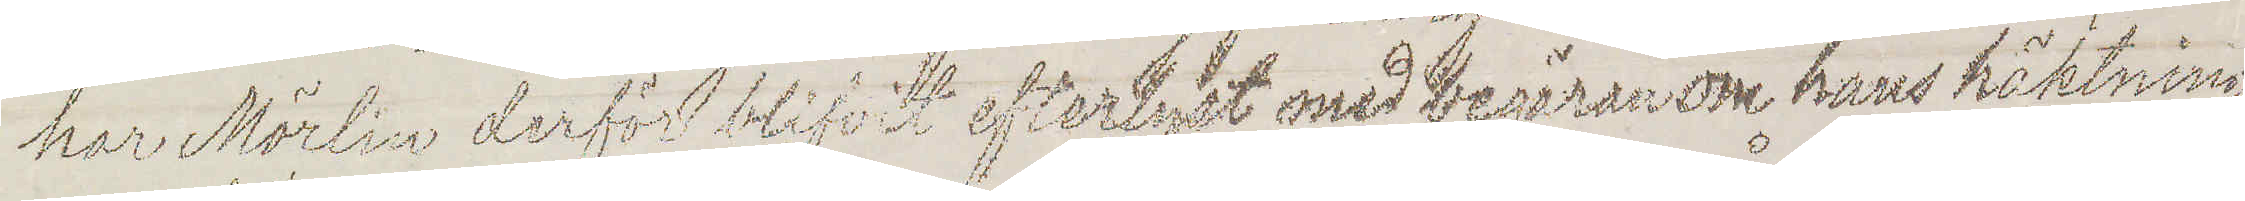har Mörlin derför blifvit efterlyst med begäran om hans häktning
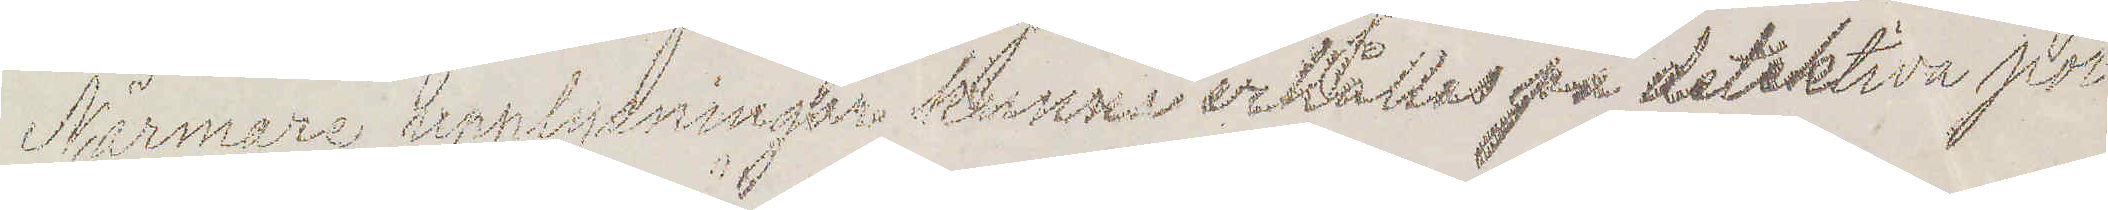Närmare upplysning kunna erhållas på detektiva pol
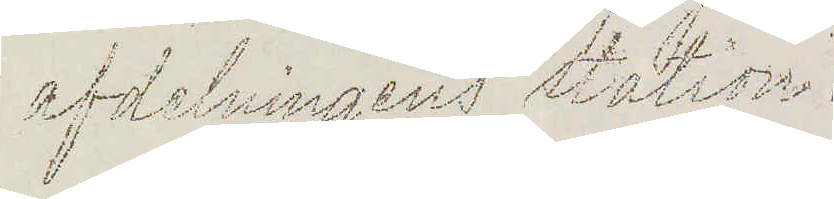afdelningens station.
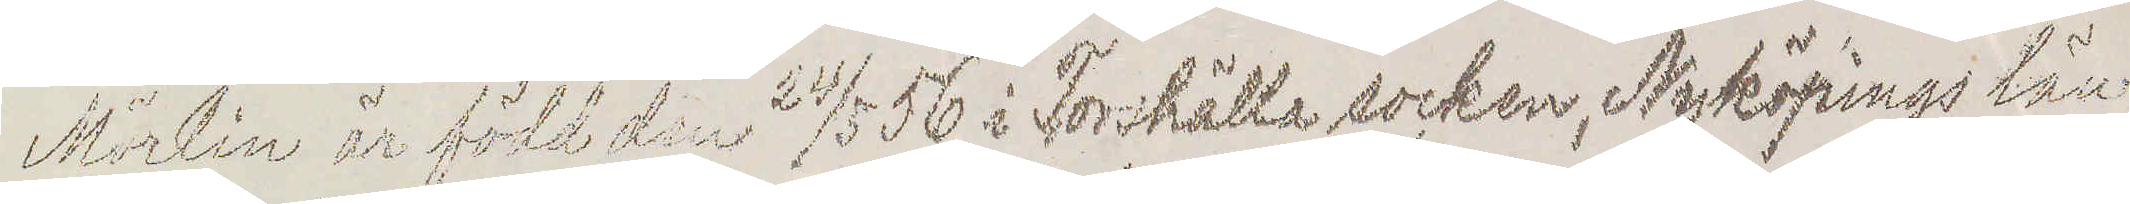Mörlin är född den 24/5 56 i Torshälla socken, Nyköpings län
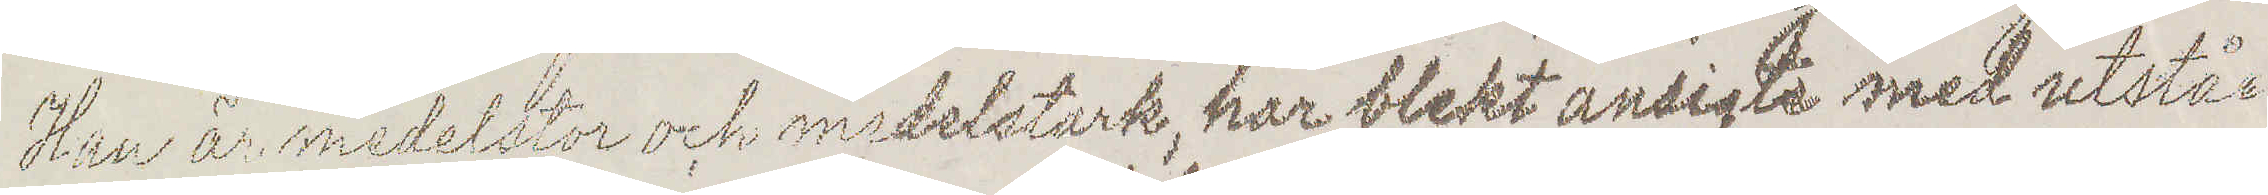Han är medelstor och medelstark, har blekt ansigte med utståe¬
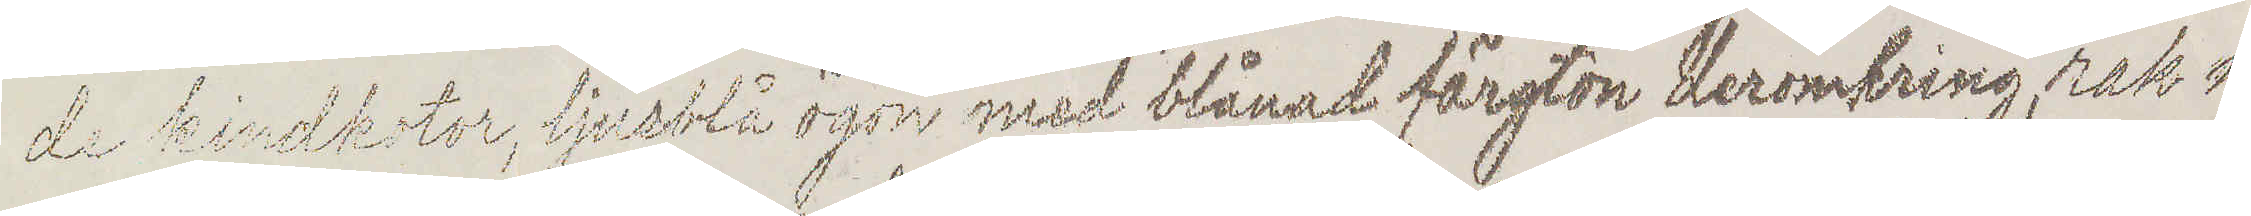de kindkotor, ljusblå ögon med blånad färgton deromkring, rak n¬
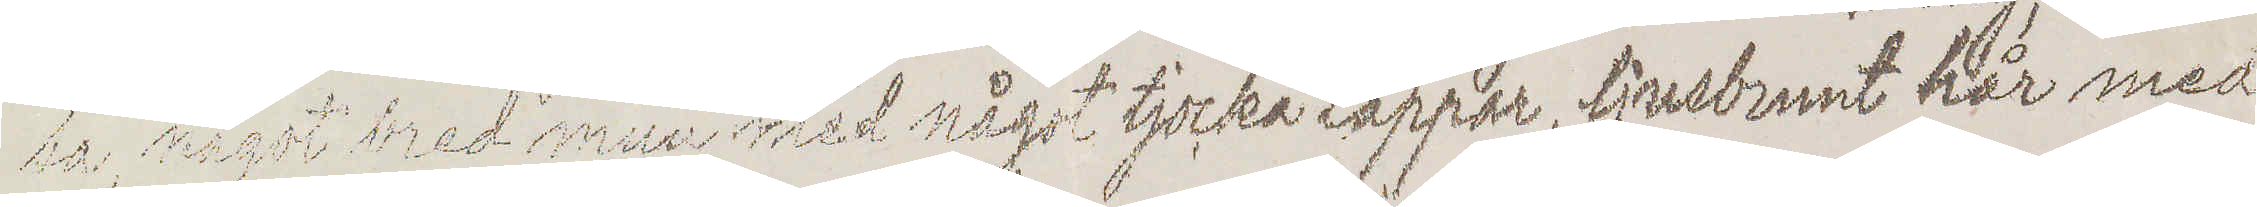sa, något bred mun med något tjocka läppar, ljusbrunt hår med
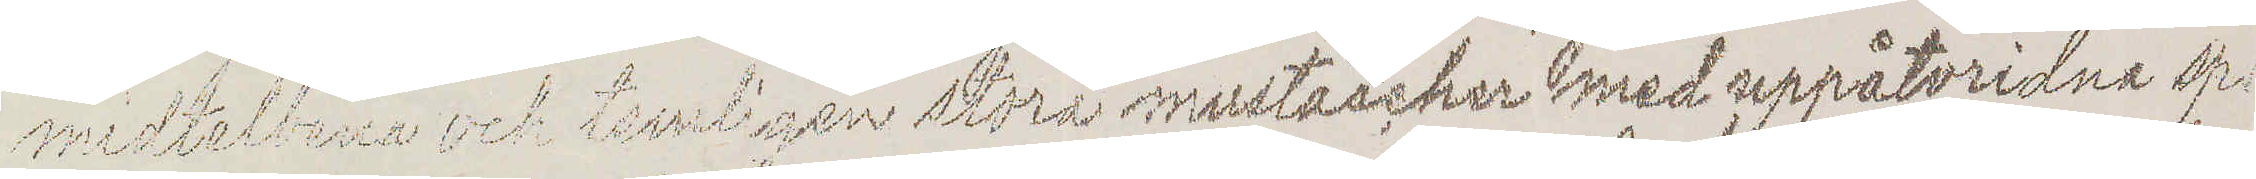midtelbena och temligen stora mustascher med uppåtvridna sp¬
